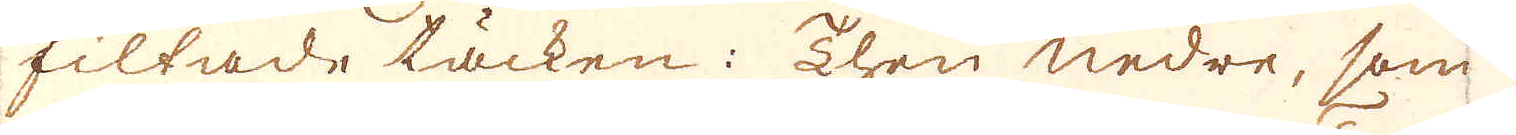filtade täcken: Then nedre, som
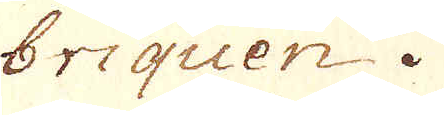briquen.
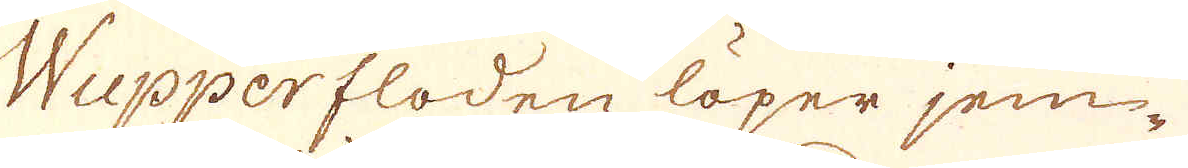Wupperfloden löper jem-
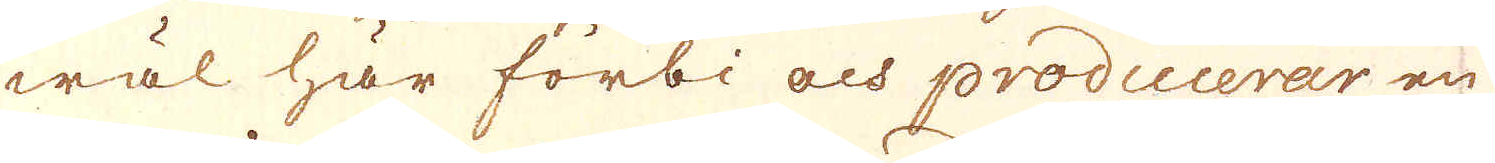wäl här förbi och producerar en
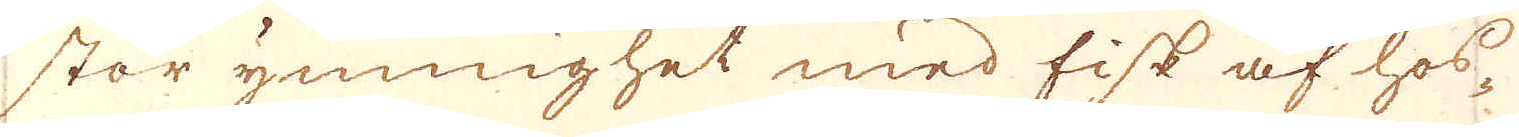stor ymnighet med fisk af hos-
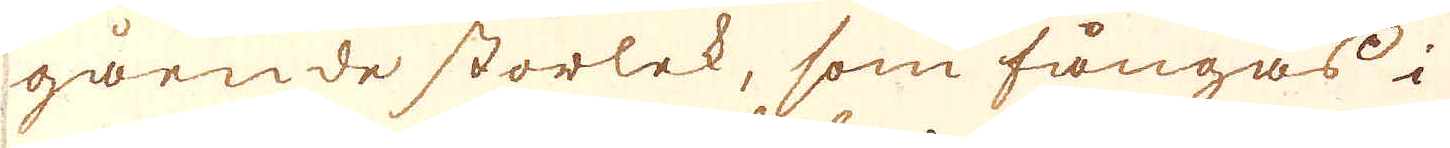gående storlek, som fångas i
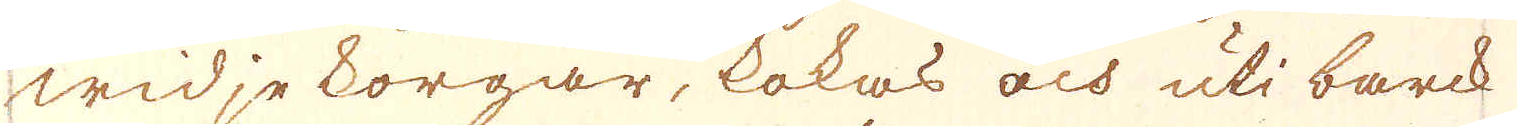widje korgar, kokas och uti barck
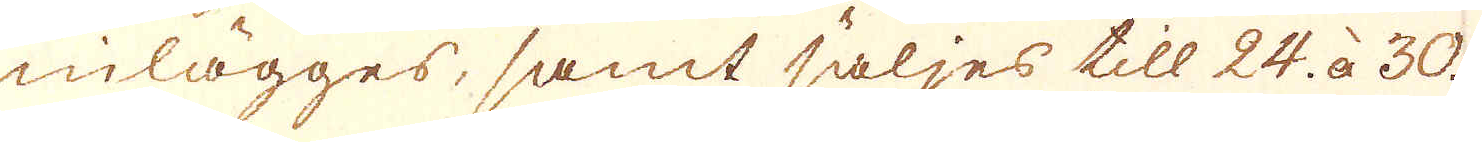inlägges, samt säljes till 24. à 30.
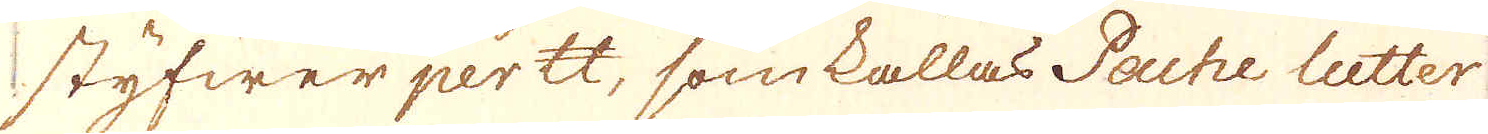styfwer per skålpund, som kallas Pache lutter
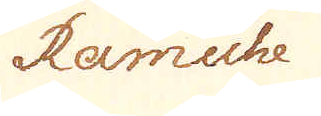Ramiche
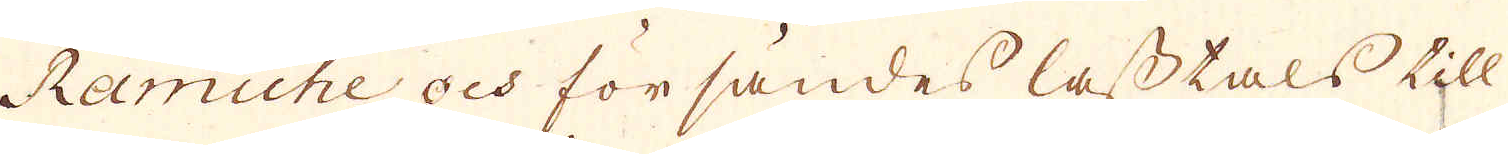Ramiche och försändes lasstals till
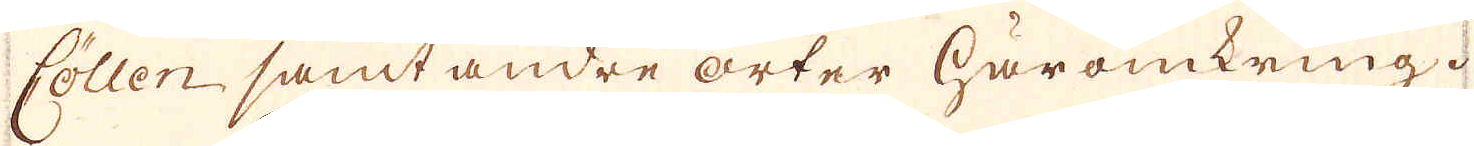Cöllen samt andre orter häromkring.
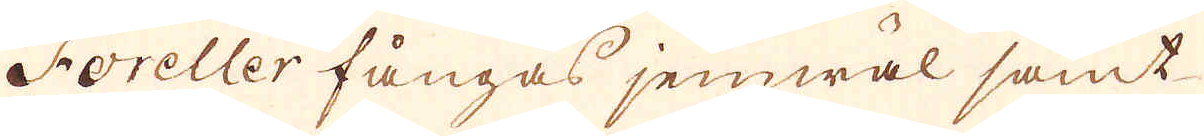Foreller fångas jemwäl samt
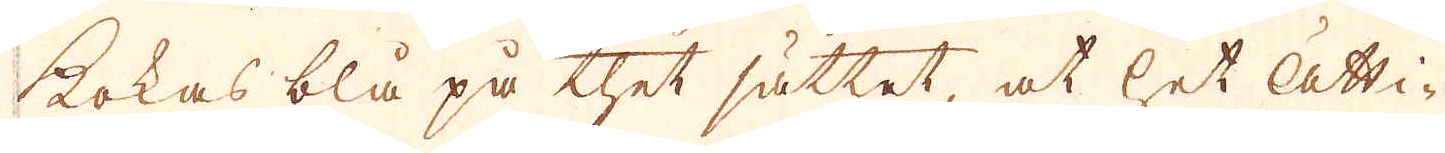kokas blå på thet sättet, at het ätti-
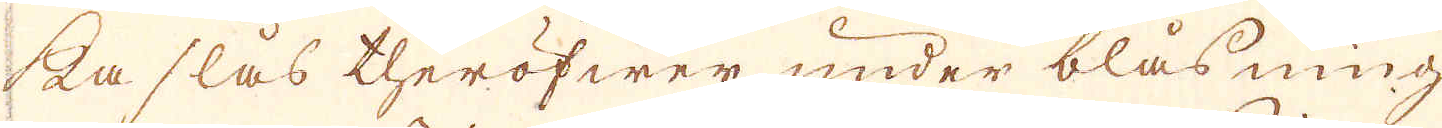ka slås theröfwer, under blåsning
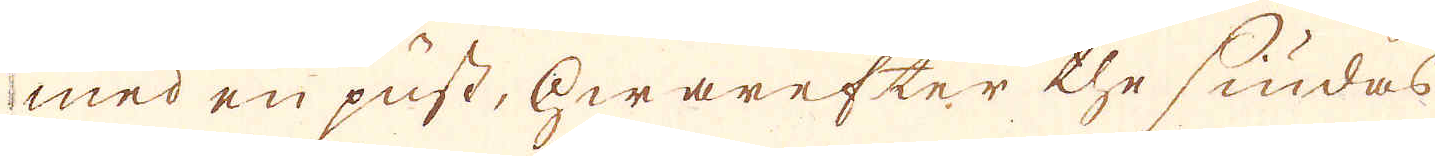med en pust, hwarefter the siudas
